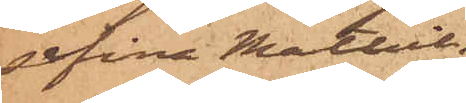sefina Mathil¬
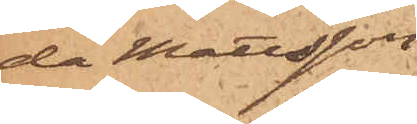da Mattsson
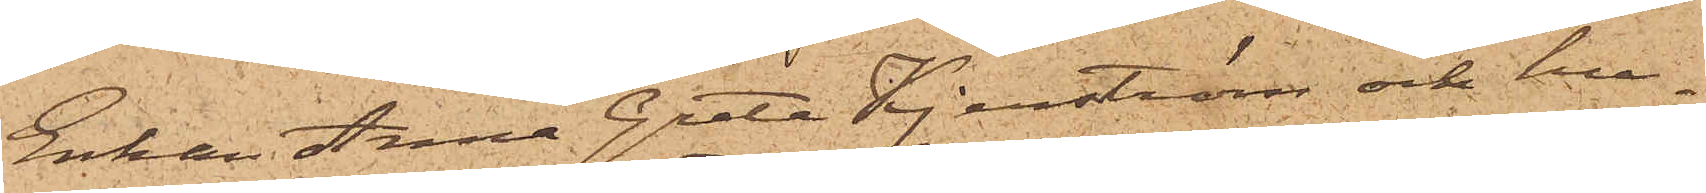Enkan Anna Greta Kjerström och hu¬
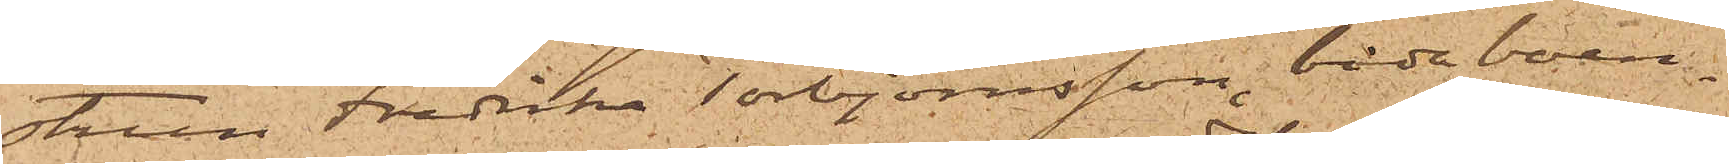strun Fredrika Torbjörnsson, båda boen¬
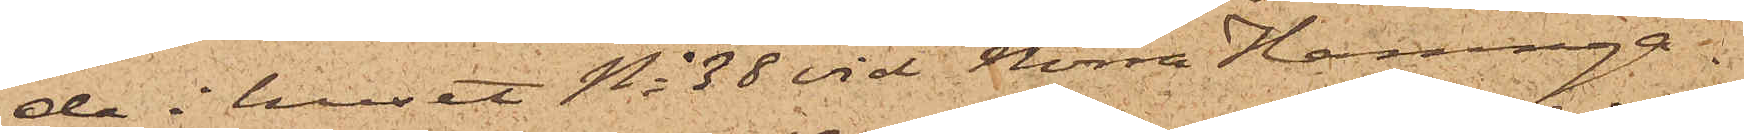de i huset No 38 vid Norra Hamnga¬
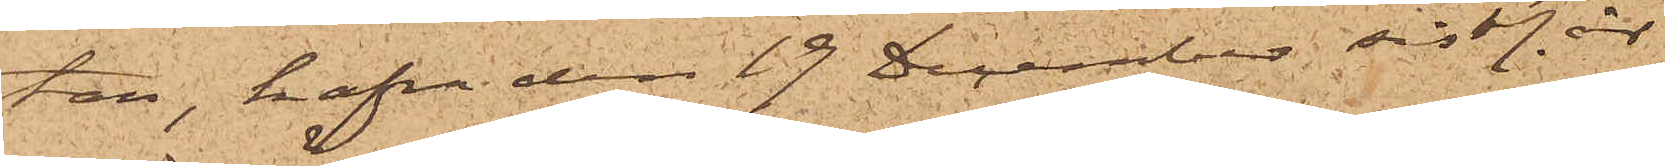tan, hafva den 19 December sistl. år
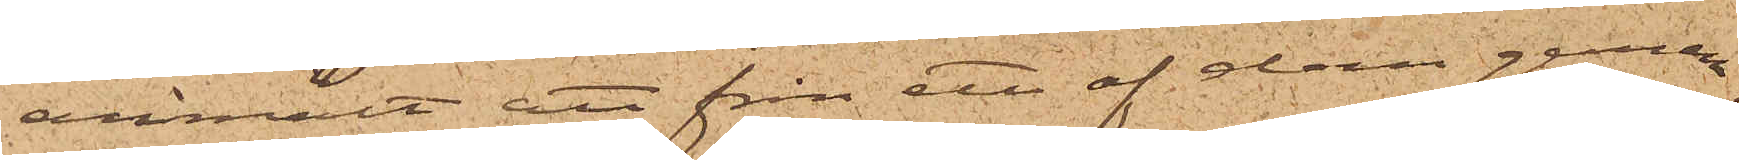anmält att från ett af dem gemen¬
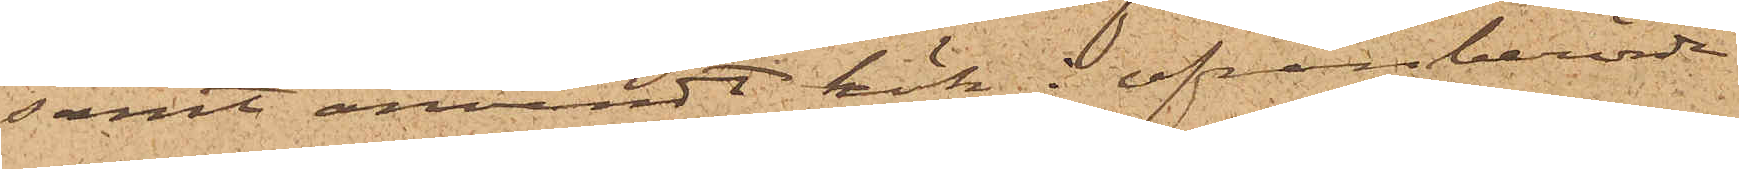samt användt kök i ofvanberörde
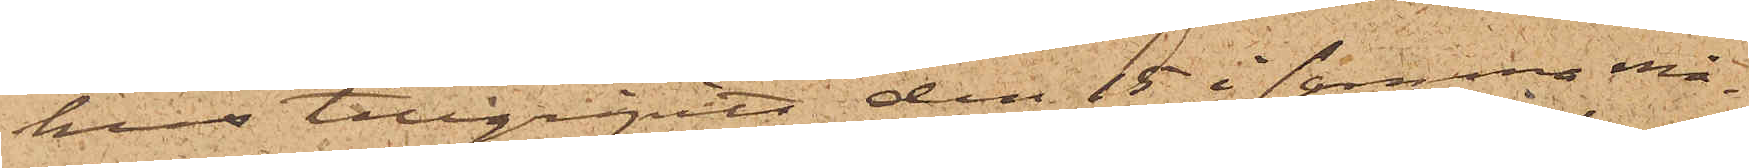hus tillgripits den 15 i samma må¬
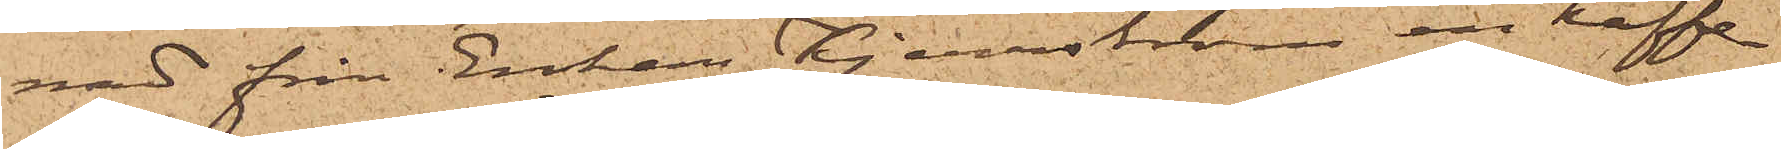nad från Enkan Kjerrström en kaffe¬
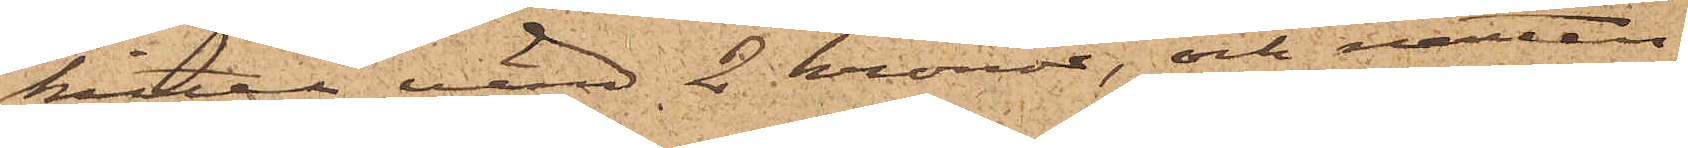kittel, värd 2 kronor, och natten
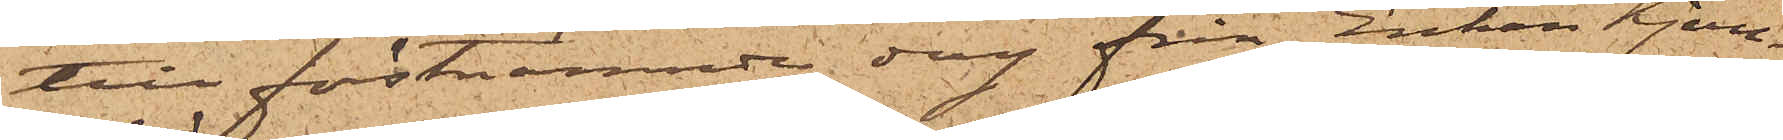till förstnämnde dag från Enkan Kjerr¬
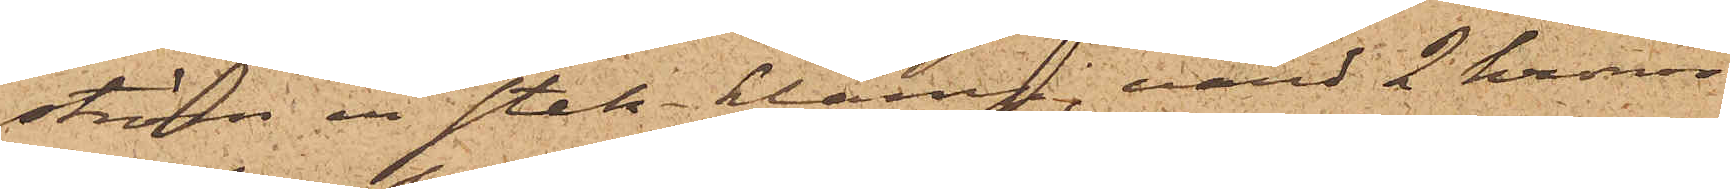ström en stek-klamp, värd 2 kronor
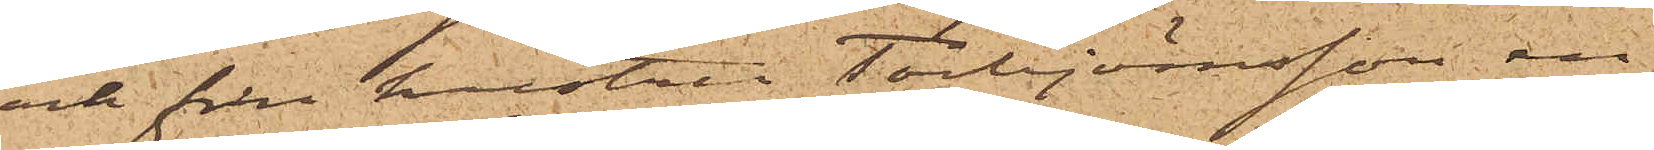och från hustru Torbjörnsson en
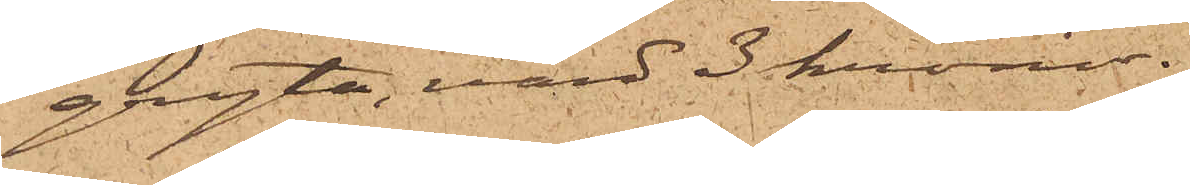gryta, värd 3 kronor.
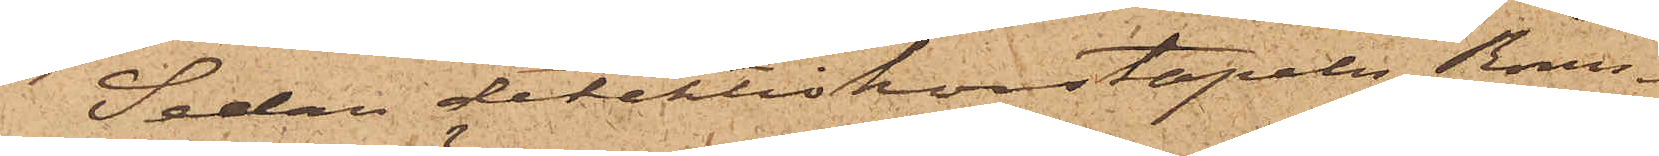Sedan detektivkonstapeln Rönn¬
